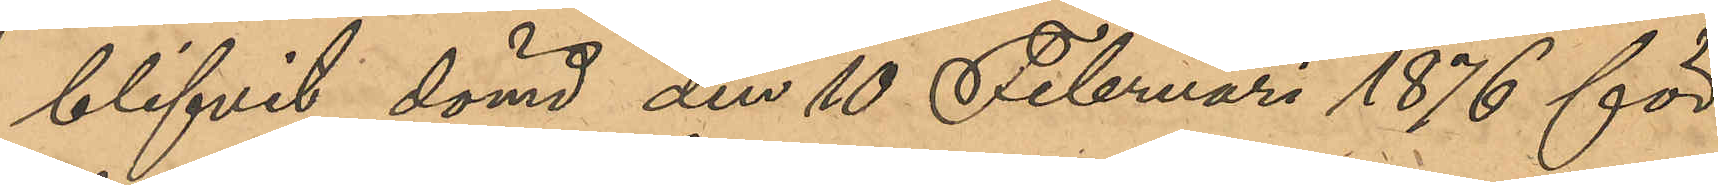blifvit dömd den 10 februari 1876 för
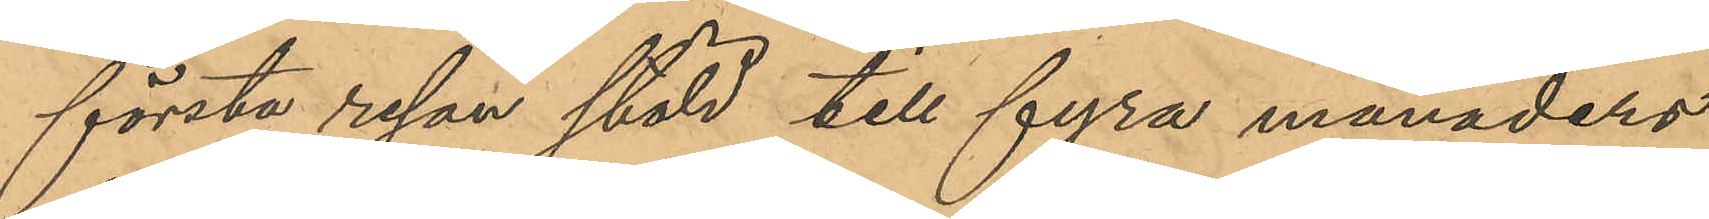första resan stöld till fyra månaders
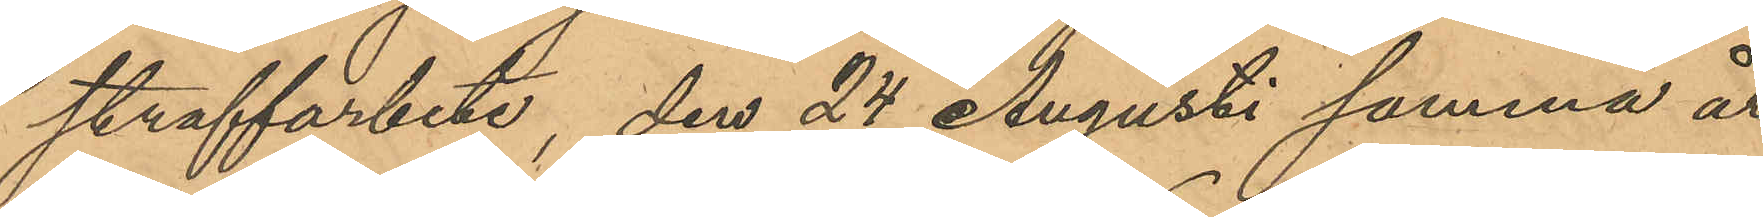straffarbete, den 24 Augusti samma år
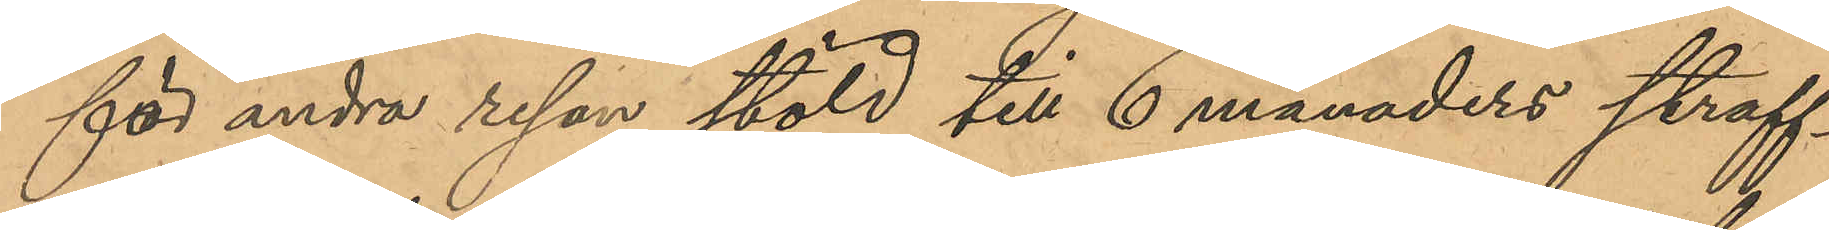för andra resan stöld till 6 månaders straff¬
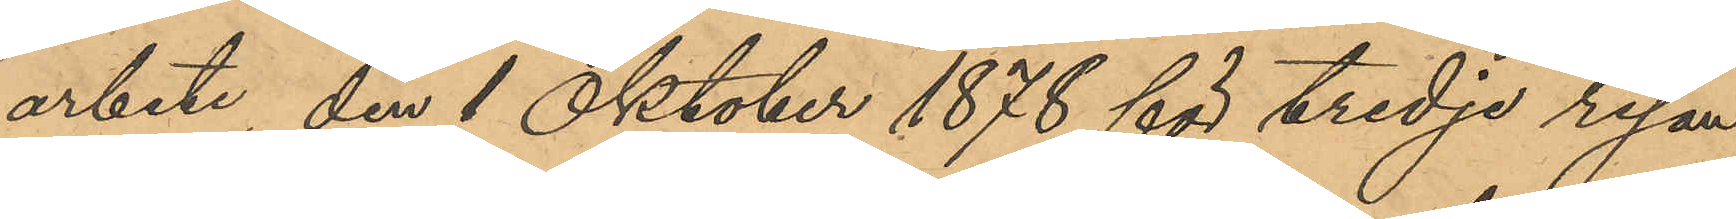arbete, den 1 Oktober 1878 för tredje resan
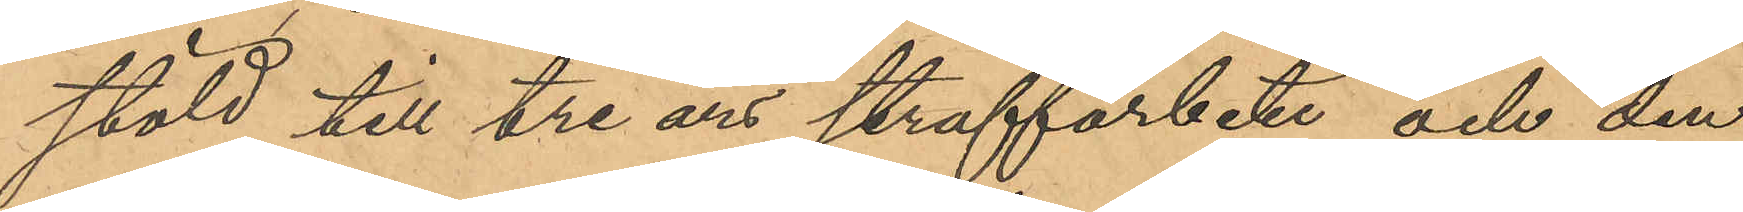stöld till tre års straffarbete och den
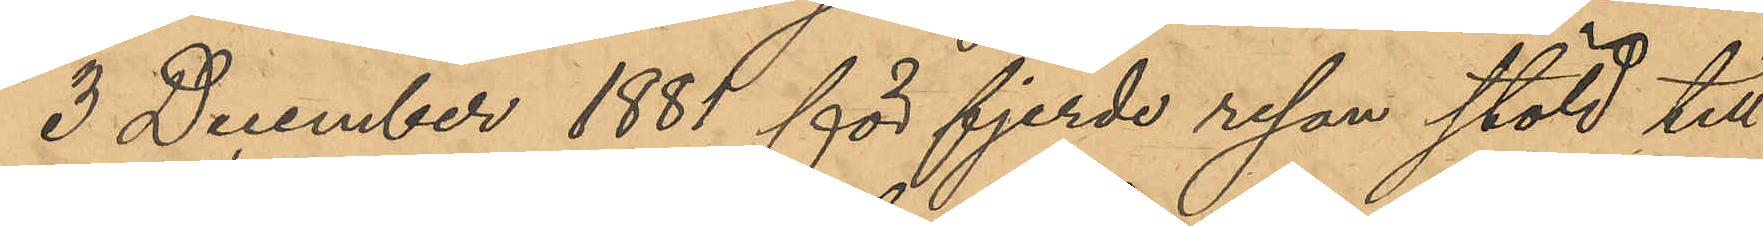3 December 1881 för fjerde resan stöld till
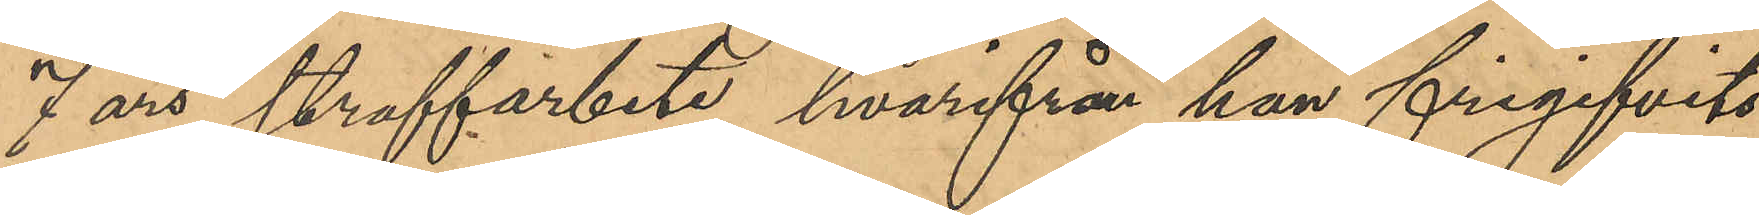7 års straffarbete hvarifrån han frigifvits
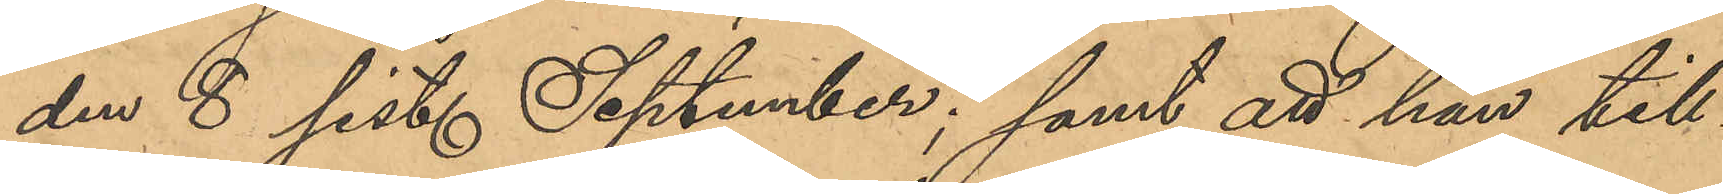den 8 sist. September; samt att han till¬
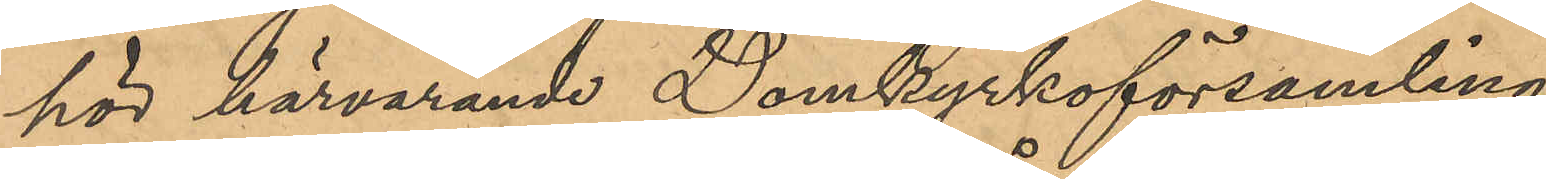hör härvarande Domkyrkoförsamling.
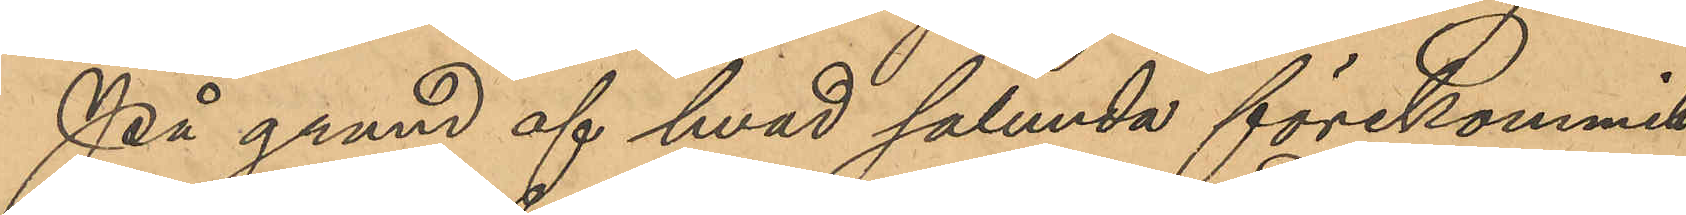På grund af hvad sålunda förekommit
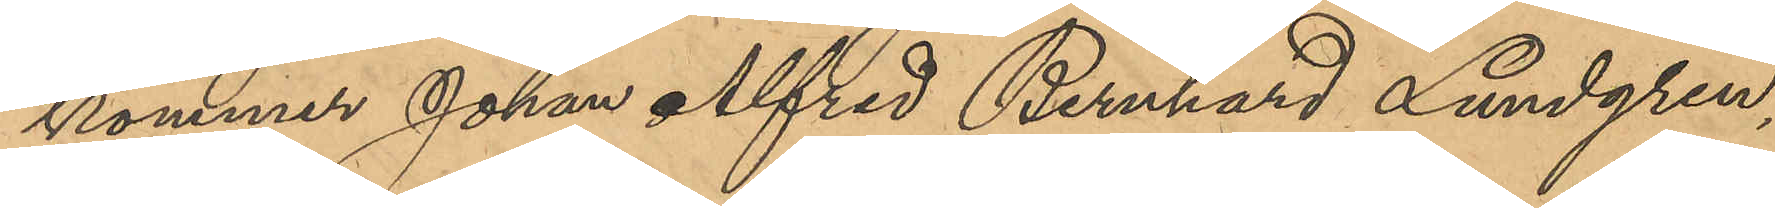kommer Johan Alfred Bernhard Lundgren,
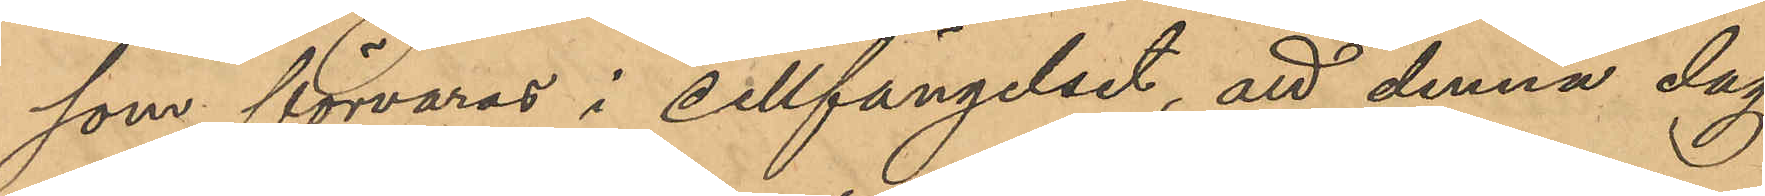som förvaras i Cellfängelset, att denna dag
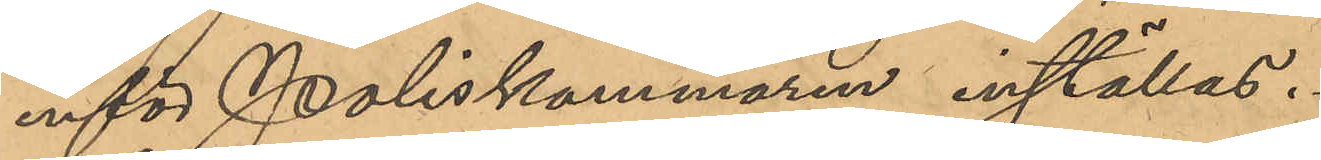inför Poliskammaren inställas.
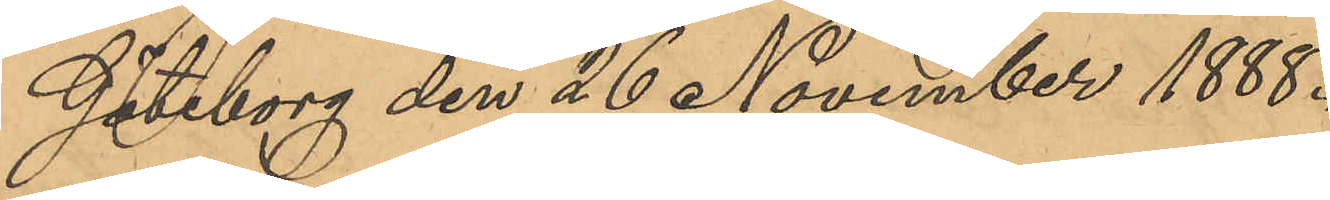Göteborg den 26 November 1888.
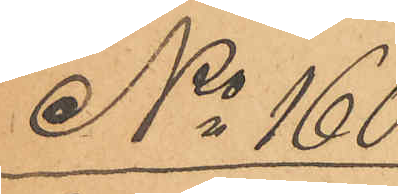No 160.
